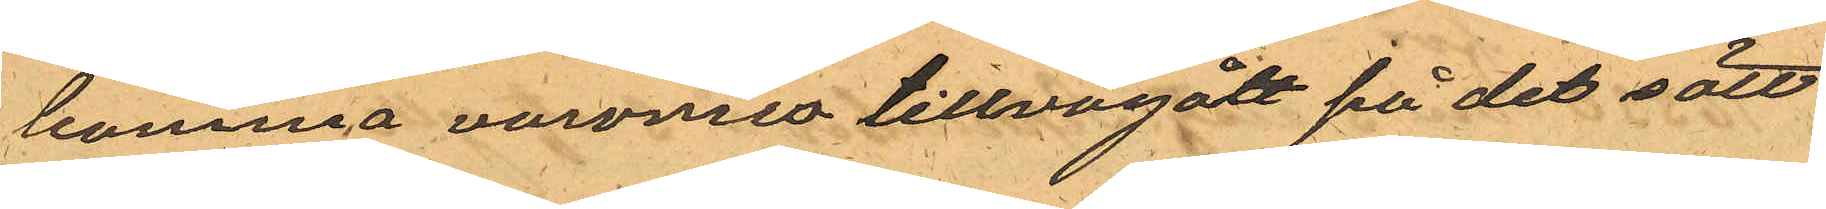komma varorna tillvägått på det sätt
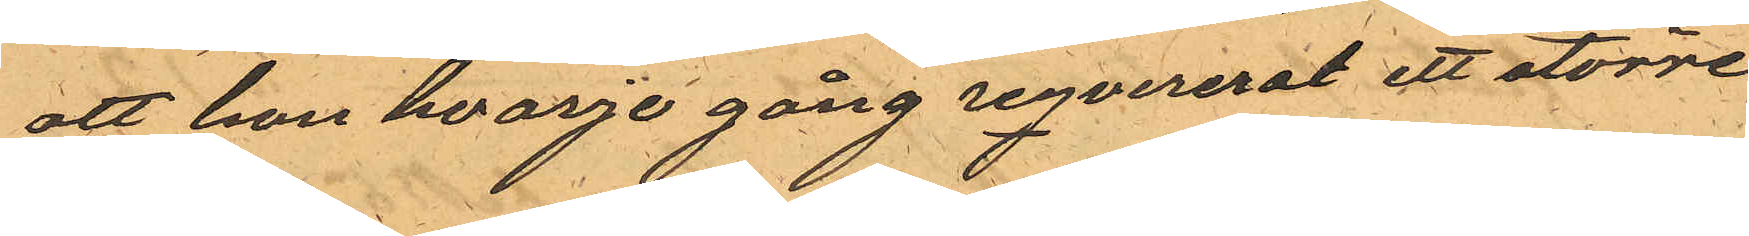att han hvarje gång reqvirerat ett större
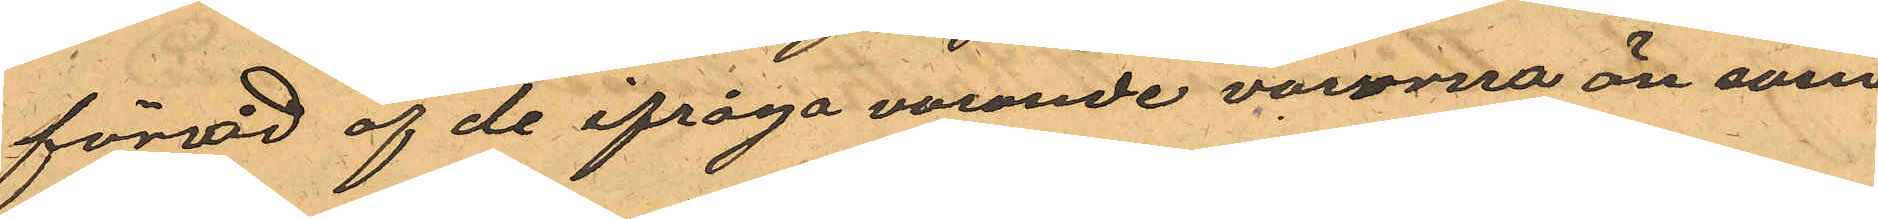förråd af de ifråga varande varorna än som
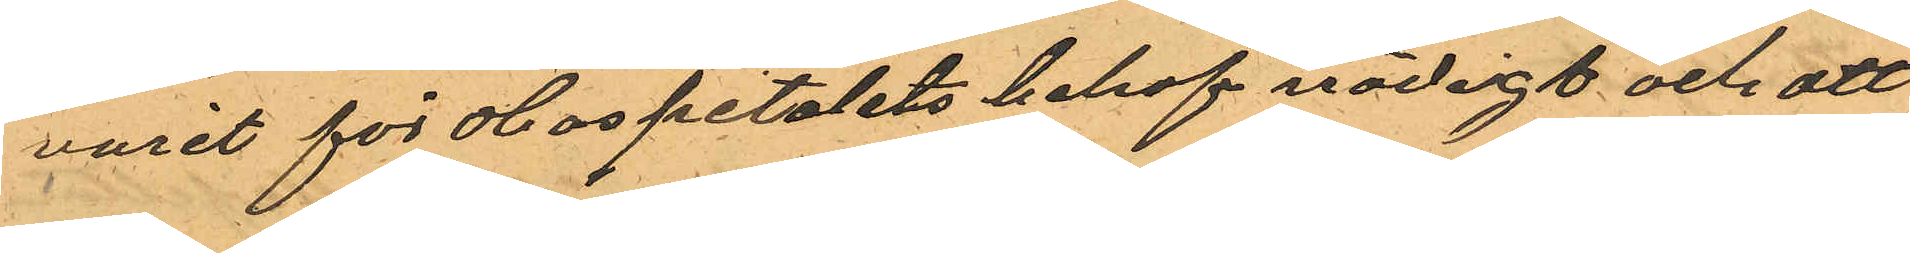varit för Hospitalets behof nödigt och att
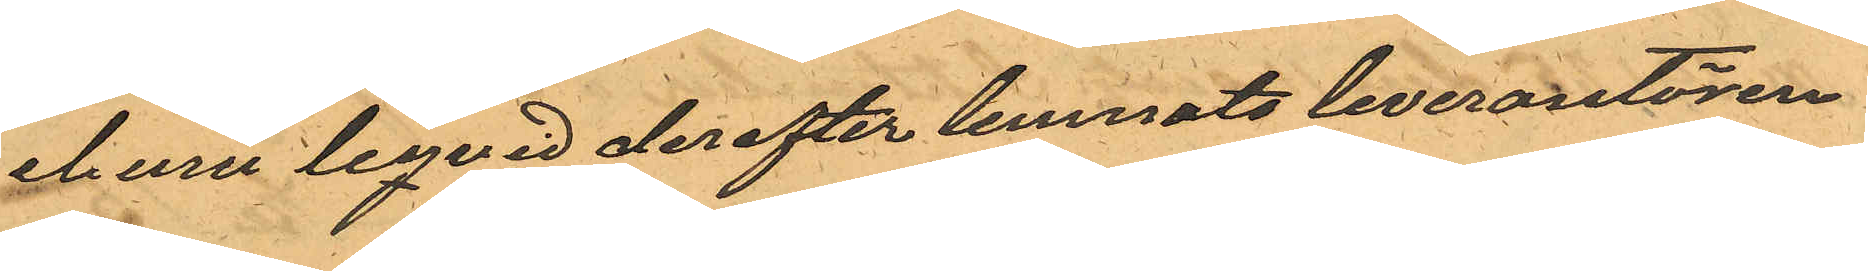ehuru liqvid derefter lemnats leverantören
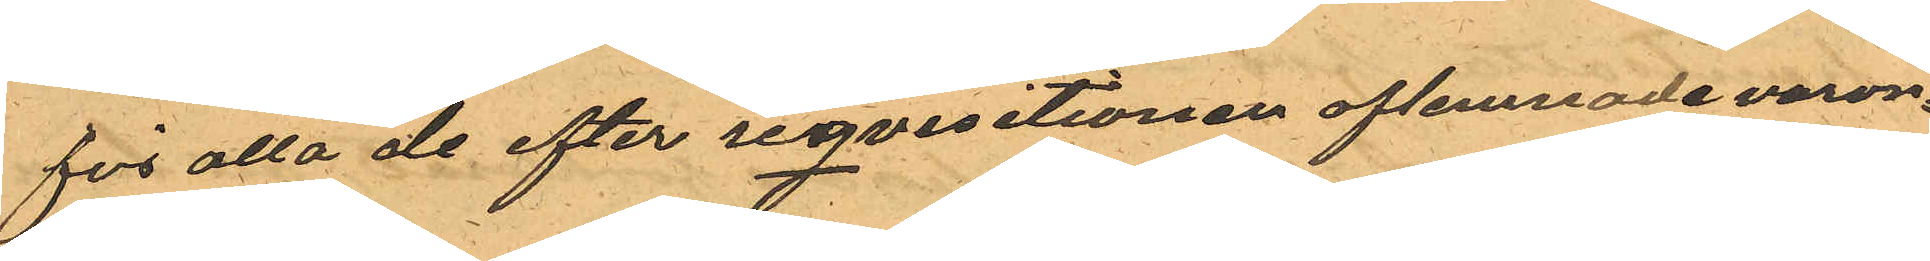för alla de efter reqvisitionen aflemnade varor¬
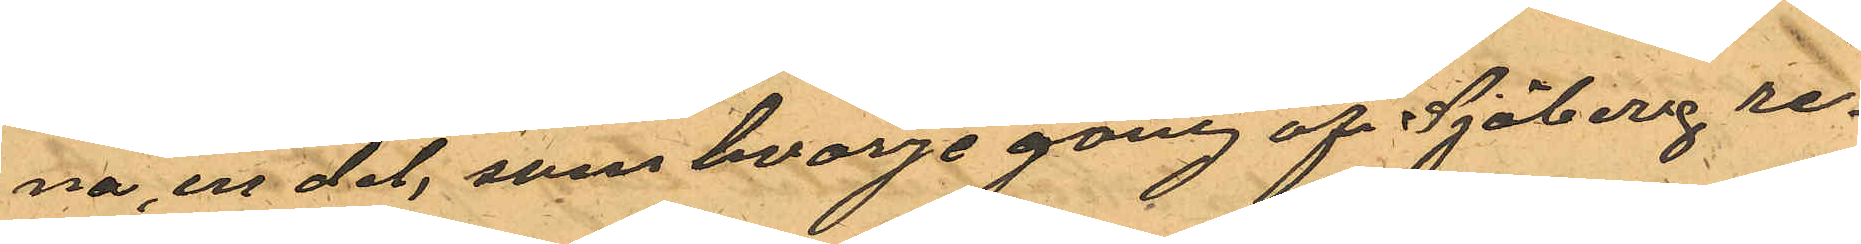na, en del, som hvarje gång af Sjöberg re¬
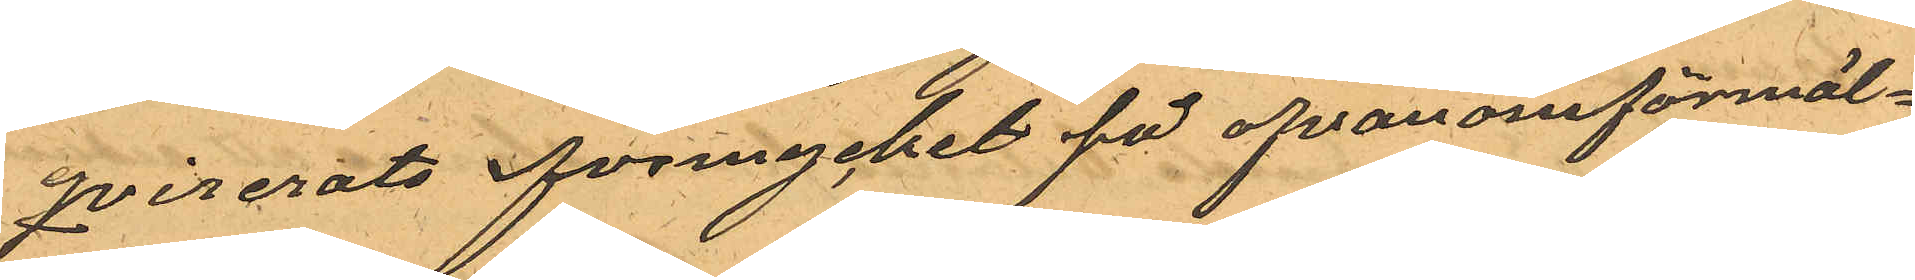qvirerats för mycket på ofvanomförmäl¬
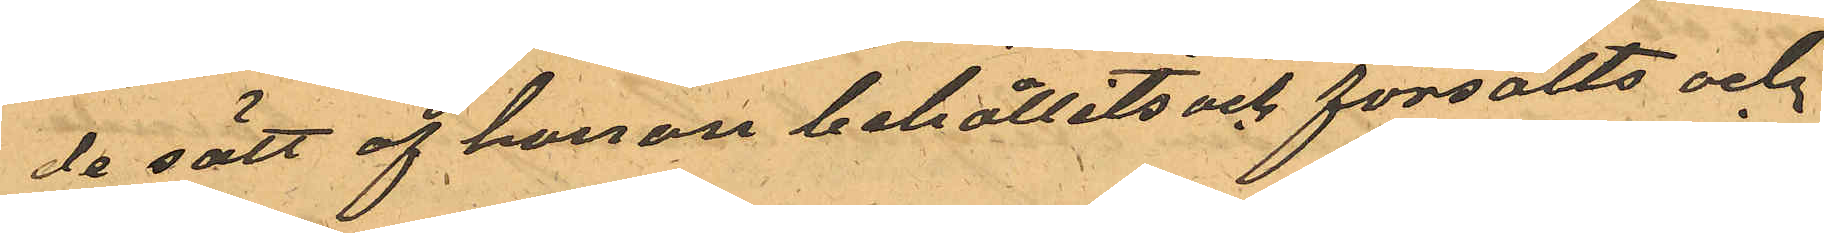de sätt af honom behållits och försålts och
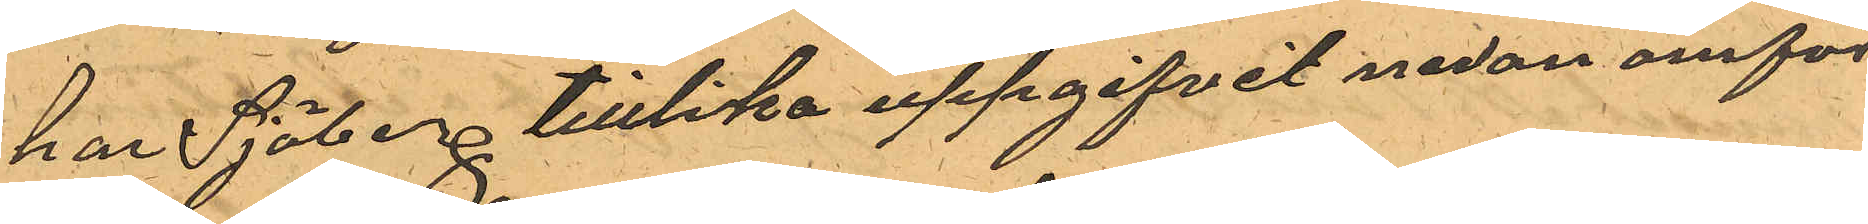har Sjöberg tilllika uppgifvit nedan omför¬
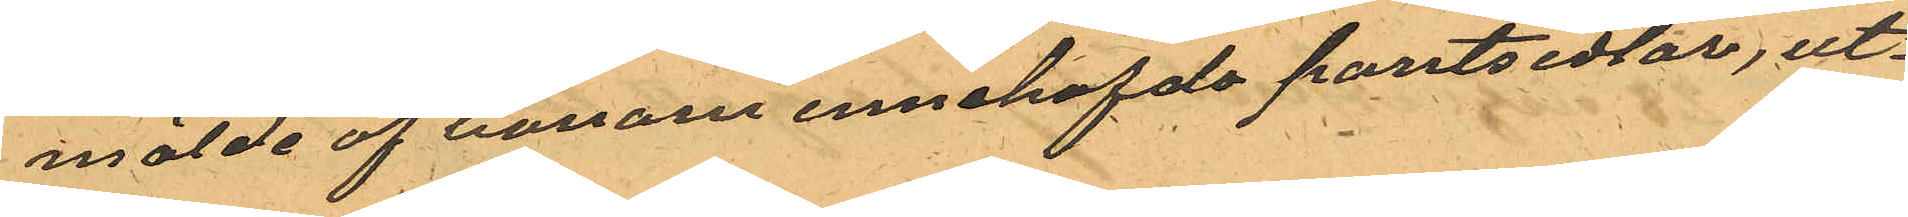mälde af honom innehafde pantsedlar, ut¬
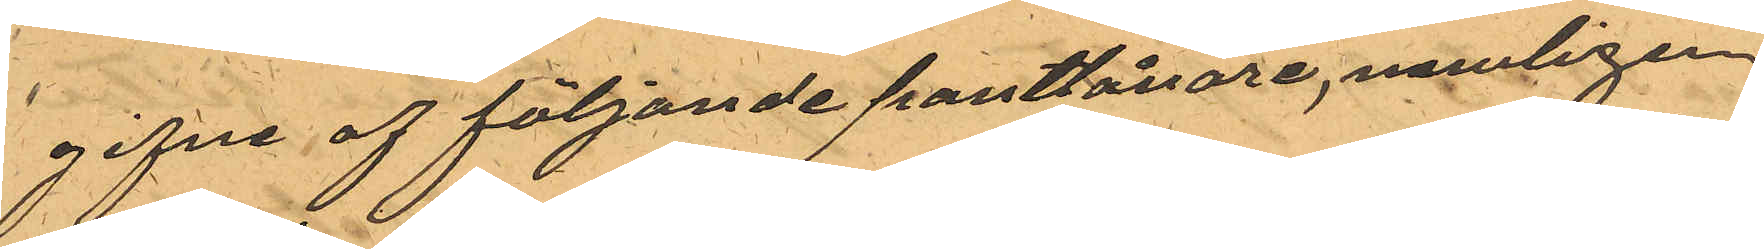gifne af följande pantlånare nämligen.
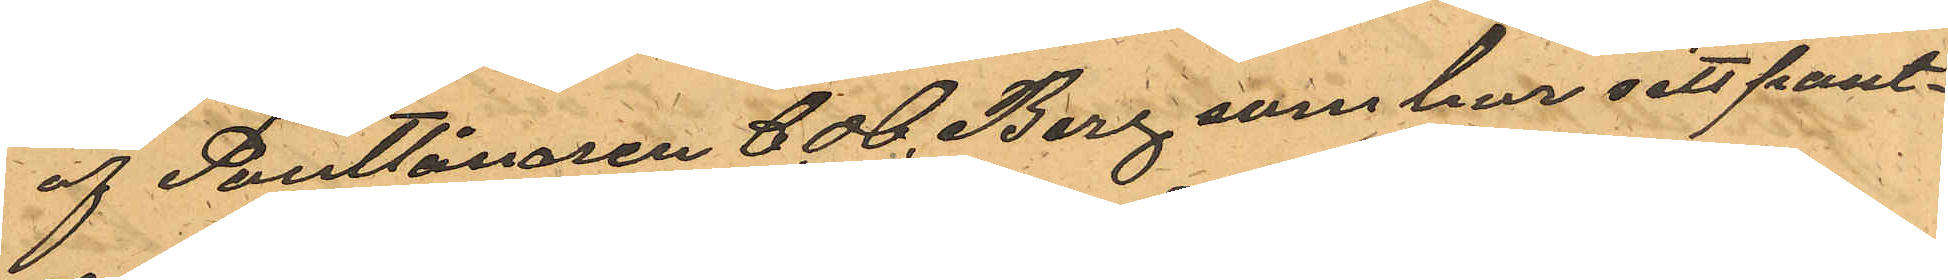af Pantlånaren C. H. Berg som har sitt pant¬
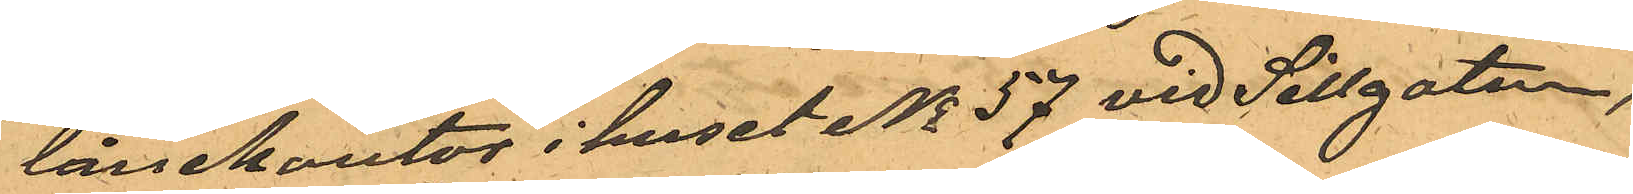lånekontor i huset No 57 vid Sillgatan,
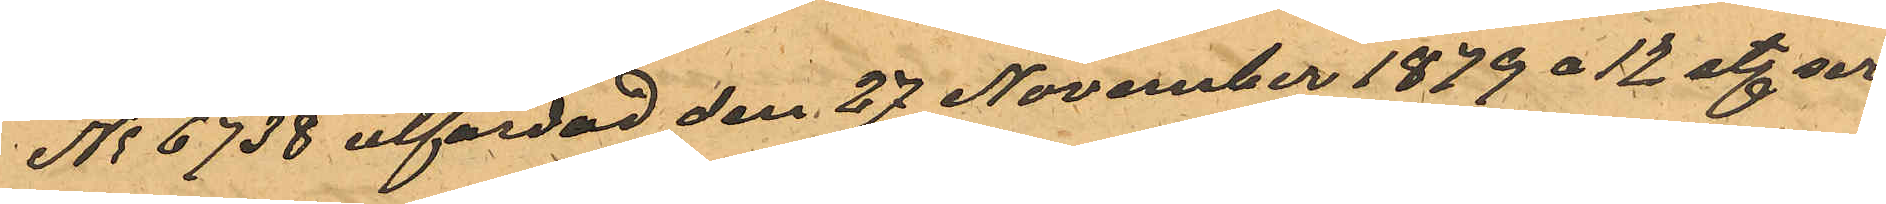No 6738 utfärdad den 27 November 1879 å 12 st. ser¬
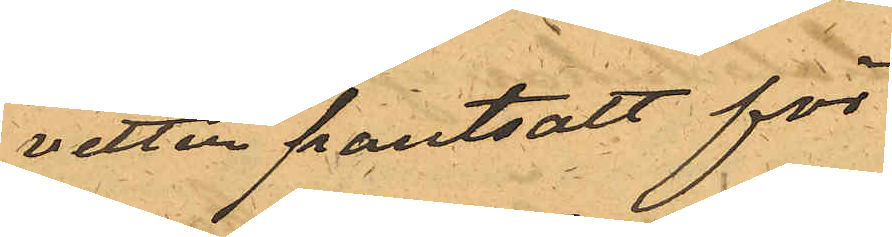vetter pantsatt för
